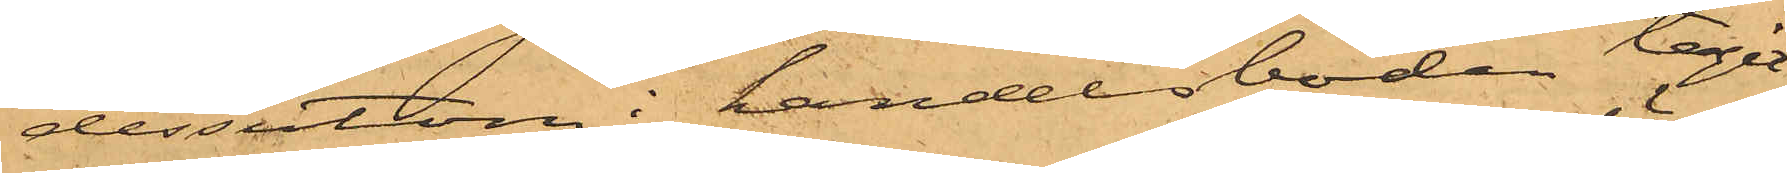dessutom i handelsboden tagit
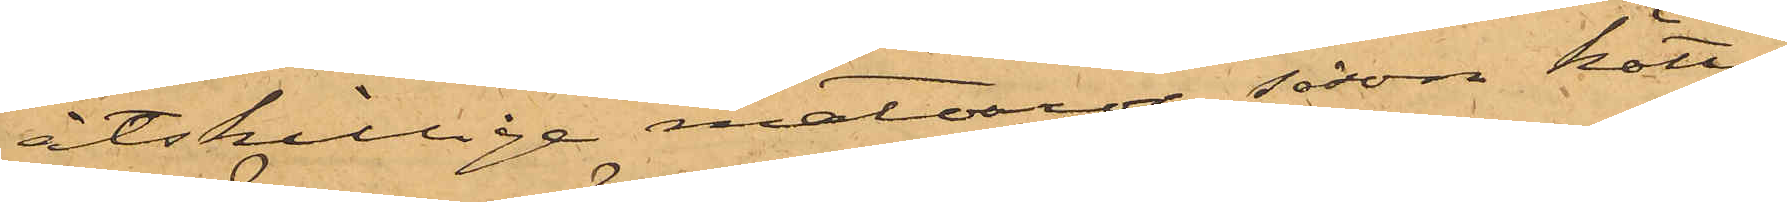åtskillige matvaror såsom kött,
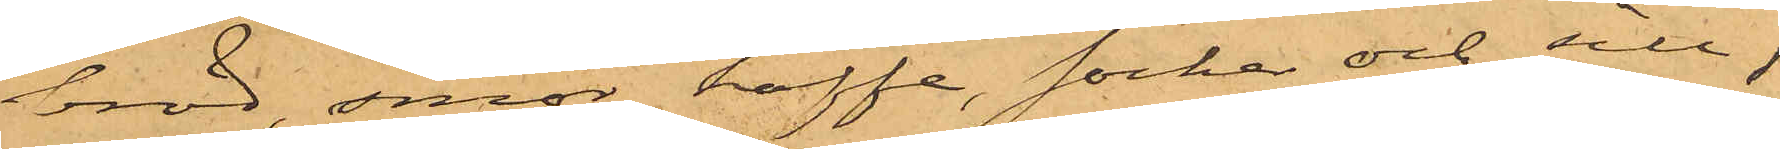bröd, smör kaffe, socker och sill,
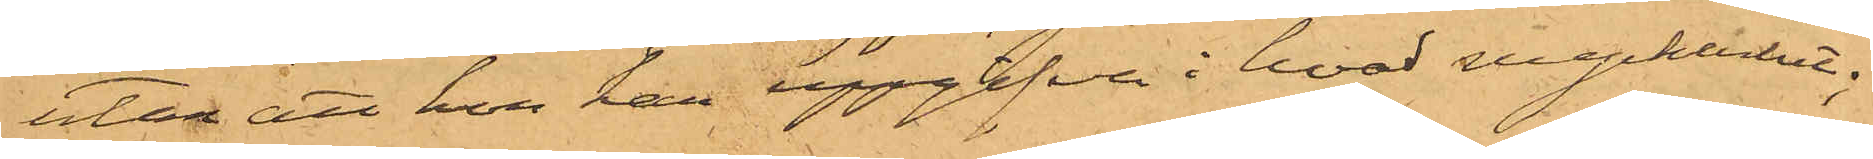utan att hon kan uppgifva i hvad myckenhet;
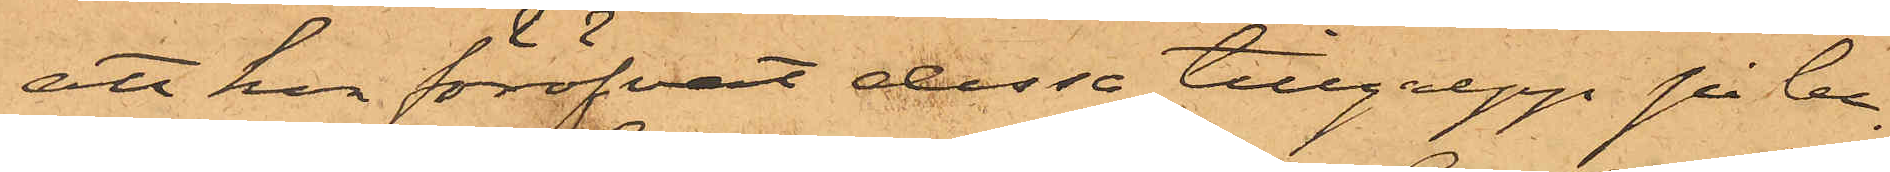att hon föröfvat dessa tillgrepp på be¬
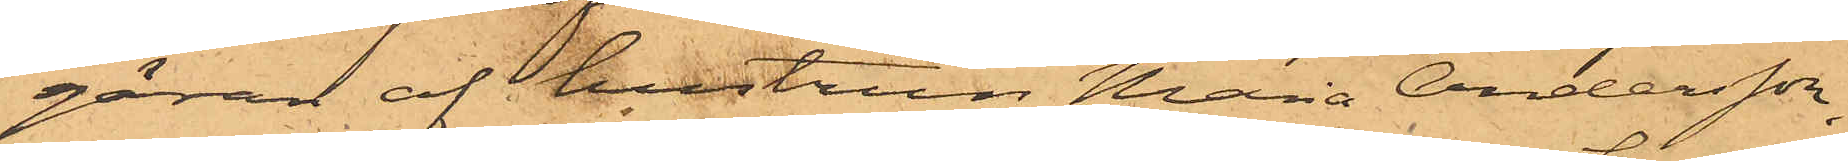gäran af hustrun Maria Andersson,
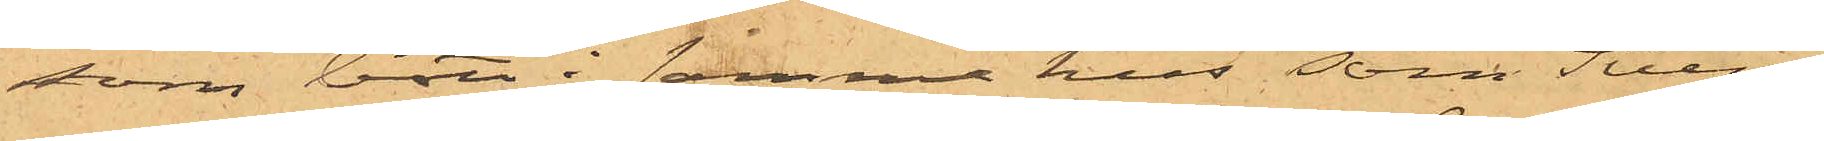som bott i samma hus som Svens¬
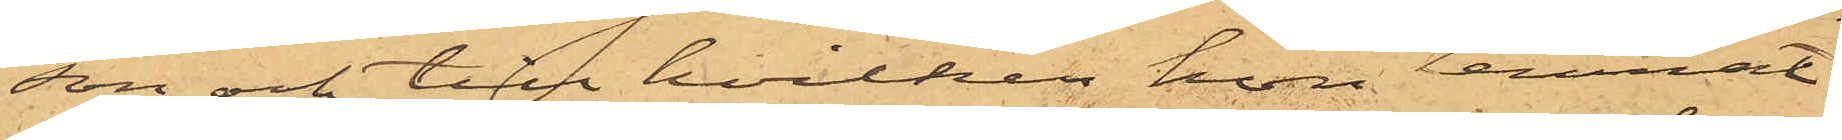son och till hvilken hon lemnat
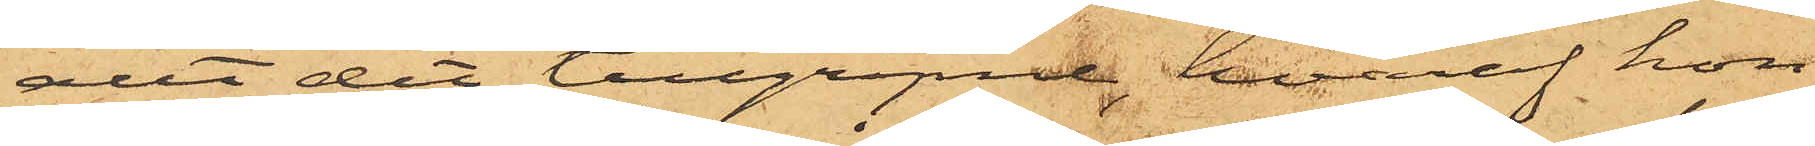allt det tillgripne, hvaraf hon
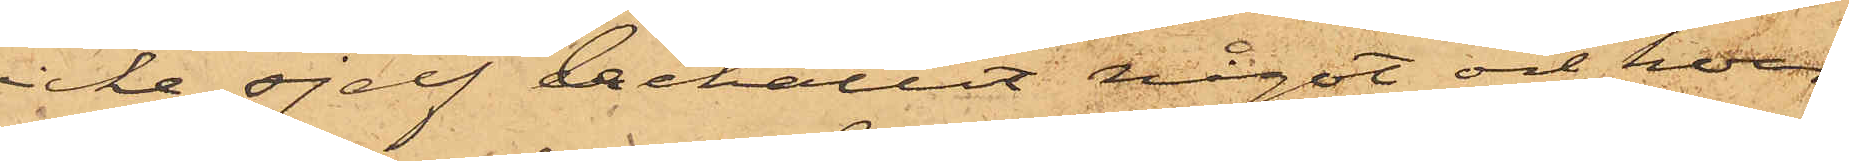icke sjelf behållit något och hvar¬
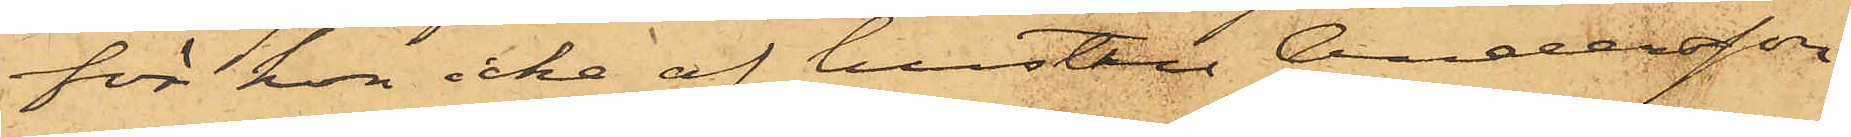för hon icke af hustru Andersson
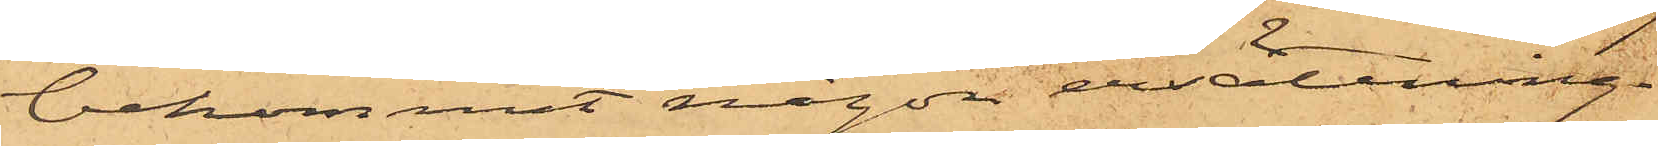bekommit någon ersättning.
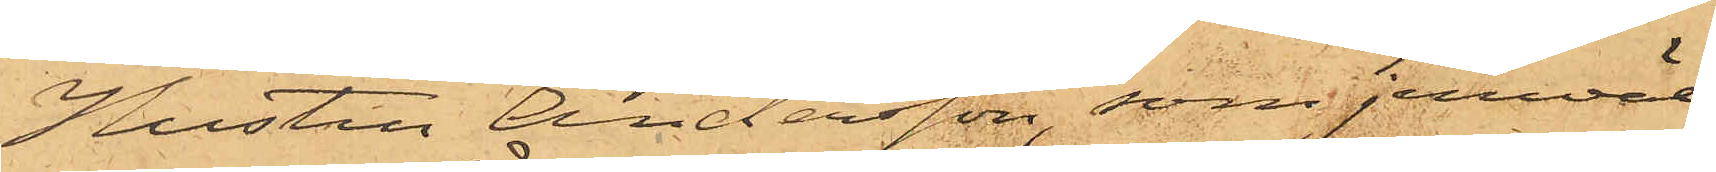Hustru Andersson, som jemväl
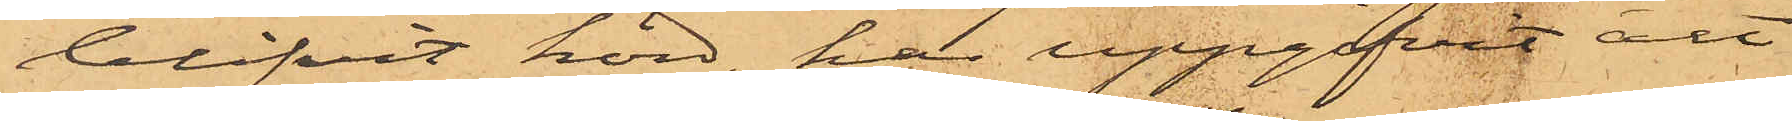blifvit hörd, har uppgifvit att
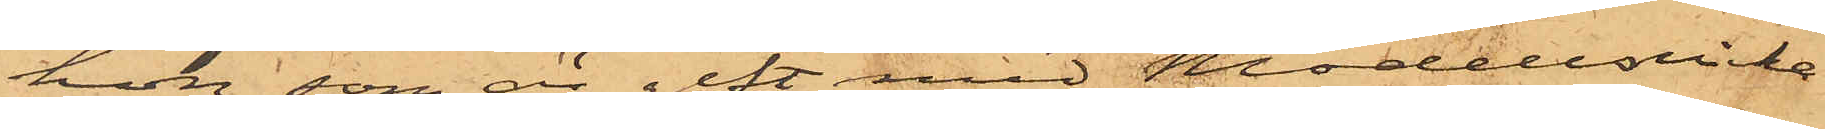hon, som är gift med Modellsnicka¬
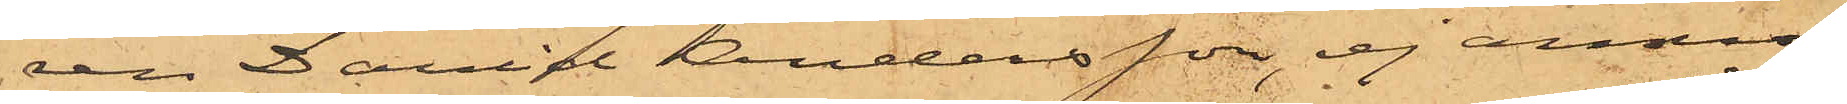ren Daniel Andersson, ej anmo¬
